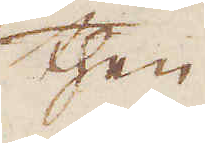then
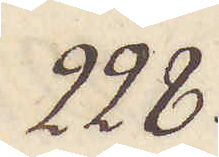228.
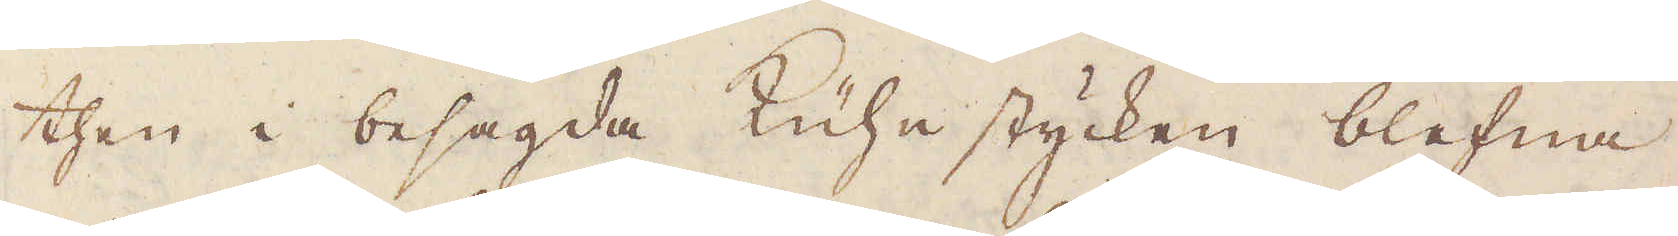then i besagda Küuhe stycken blefna
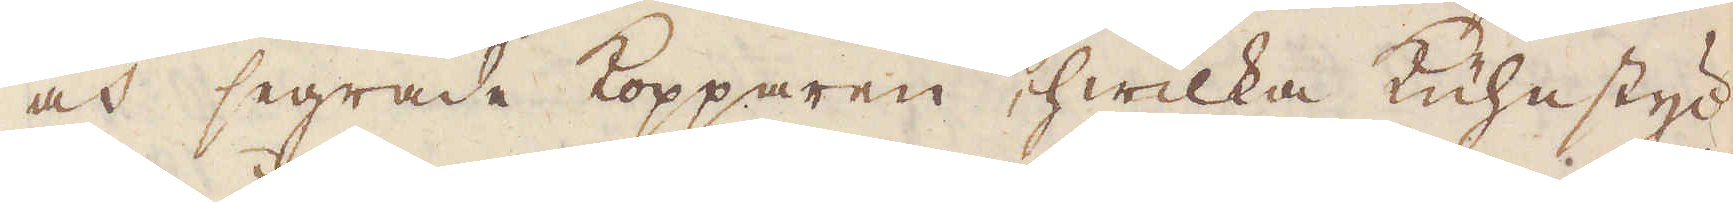och segrade Kopparen, hwilka Kuhnstyc-
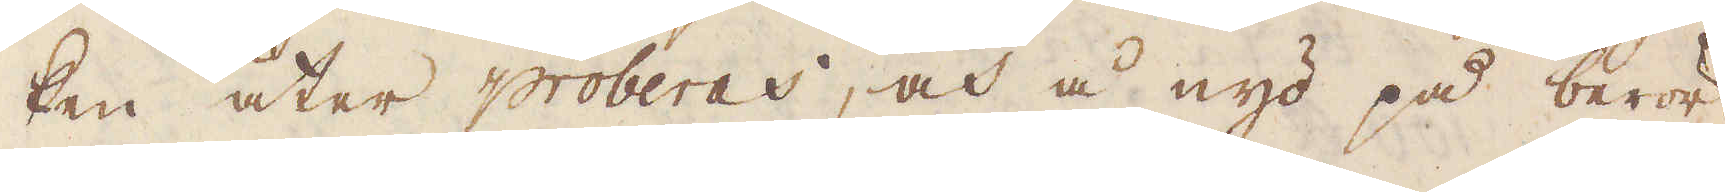ken åter proberas, och å nyo på berör-
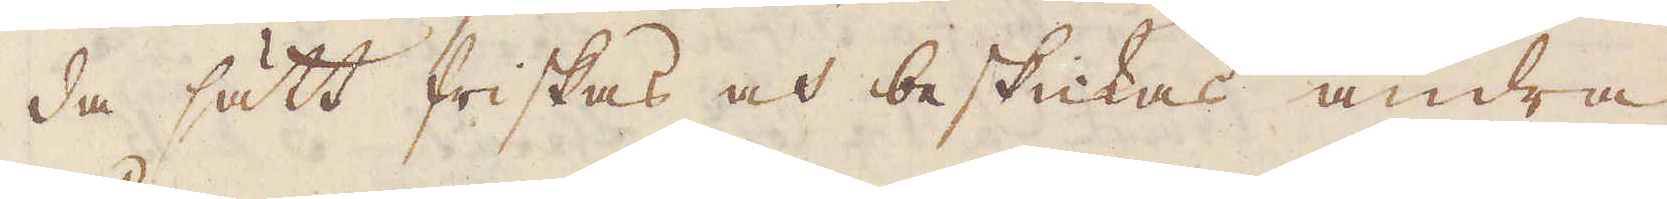da sätt friskas och beskicka andra
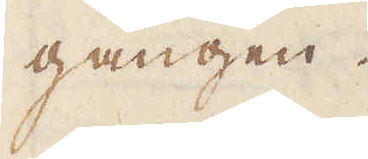gången.
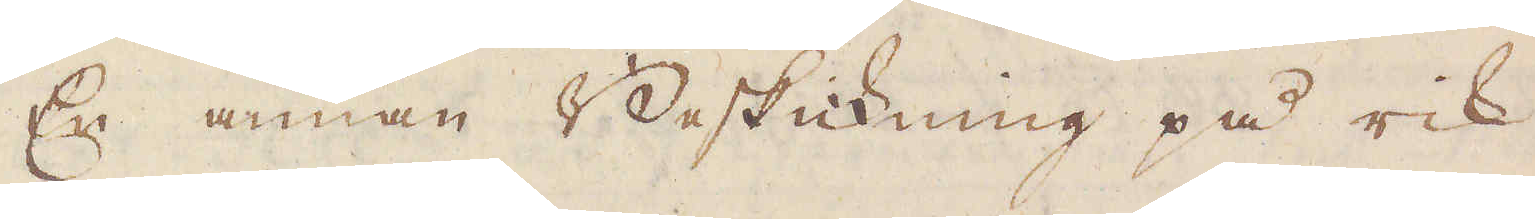En annan Beskickning på rik
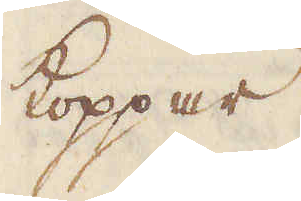koppar.
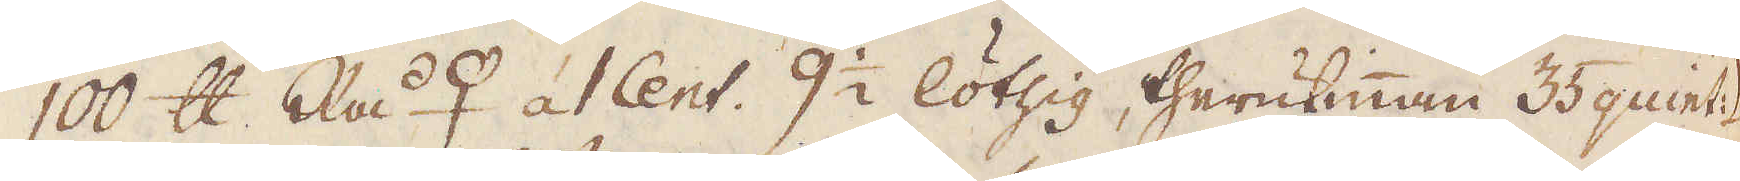100 skålpund Rå♀ á 1 Cent. 9 1/2 löthig, therutinnan 35 quint: ☽
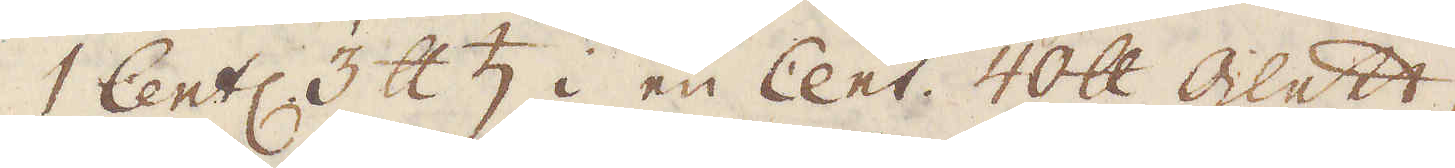1 Cent: 3 skålpund ♄ i en Cent. 40 skålpund glett
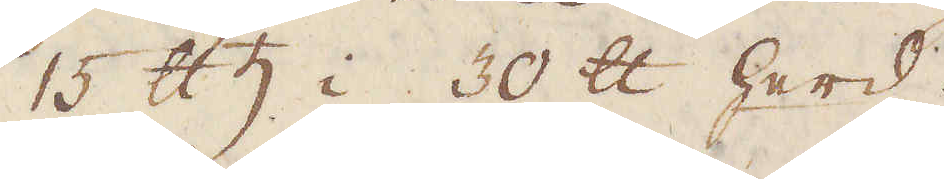15 skålpund i 30 skålpund herd
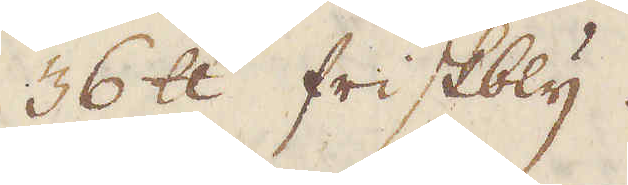36 skålpund friskbly.
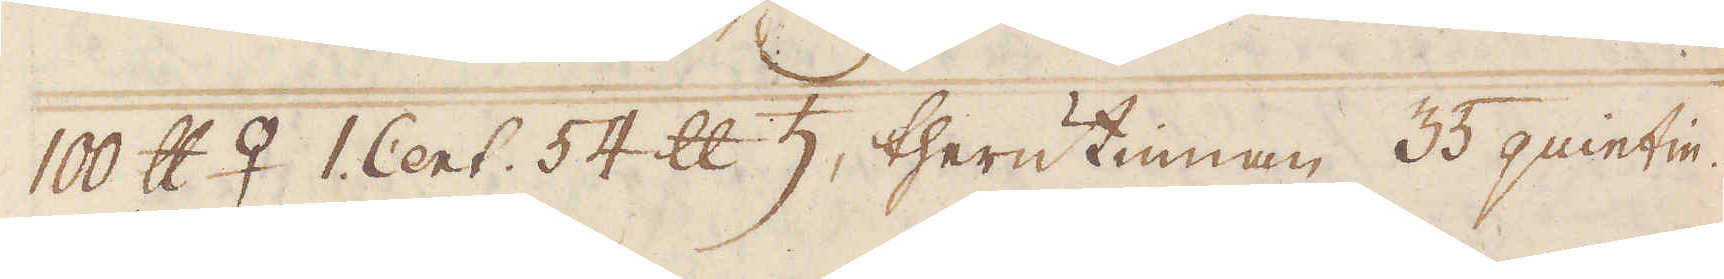10 skålpund ♀ 1 Cent. 54 skålpund ♄, therutinnan 35 quintin.
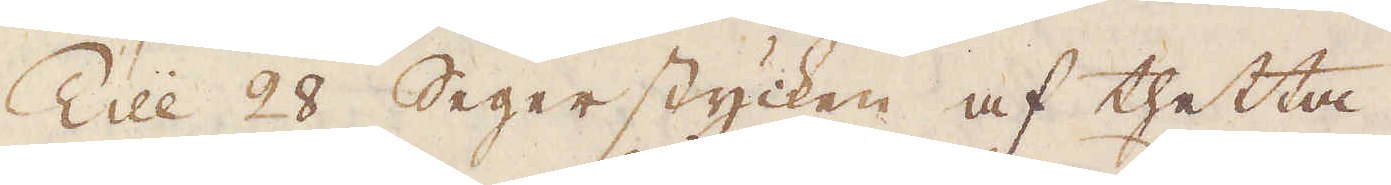Till 28 Segerstycken af thetta.
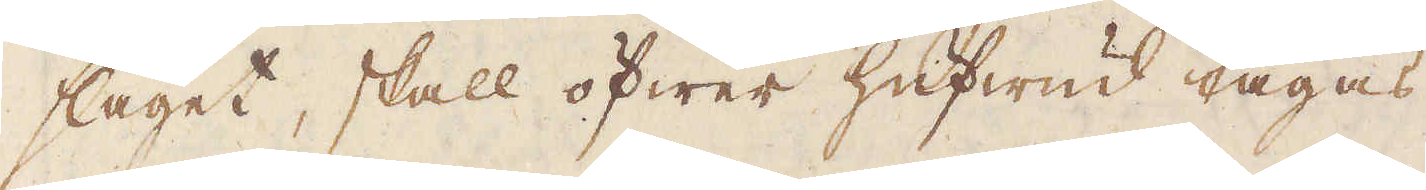slaget, skall öfwer hufwud tagas,
